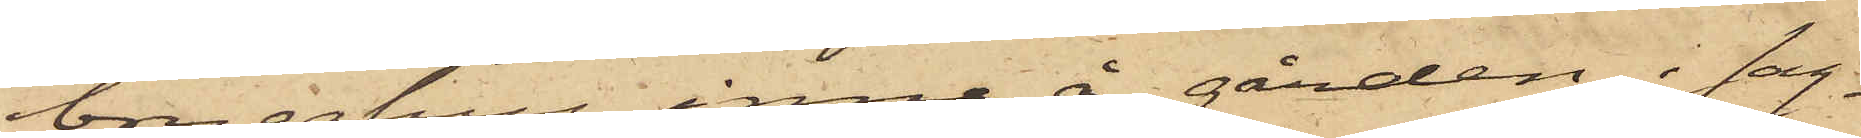brygghus inne å gården i sag¬
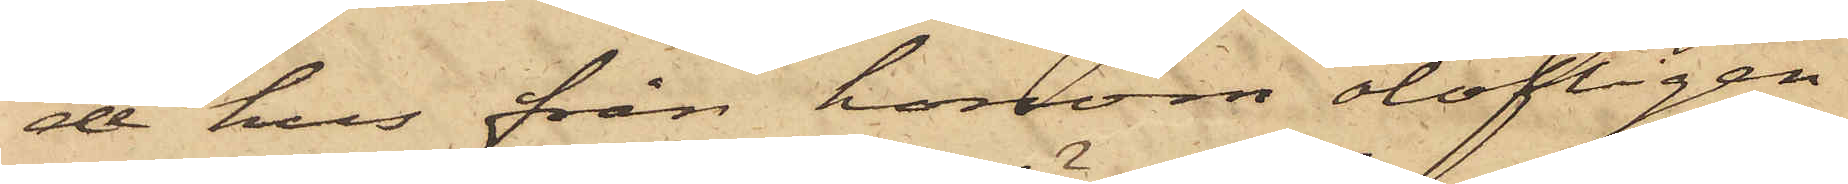de hus från honom olofligen
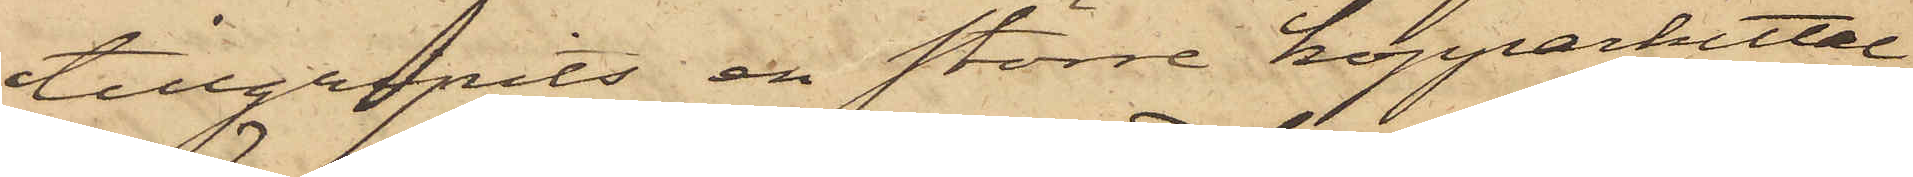tillgripits en större kopparkittel
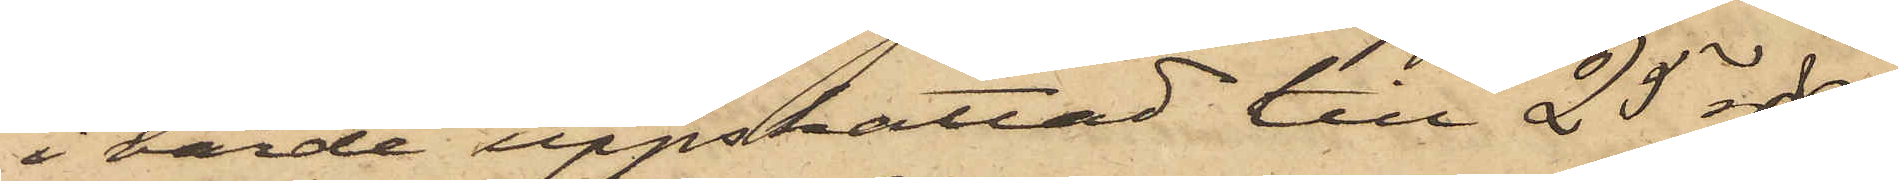i värde uppskattad till 25 rdr,
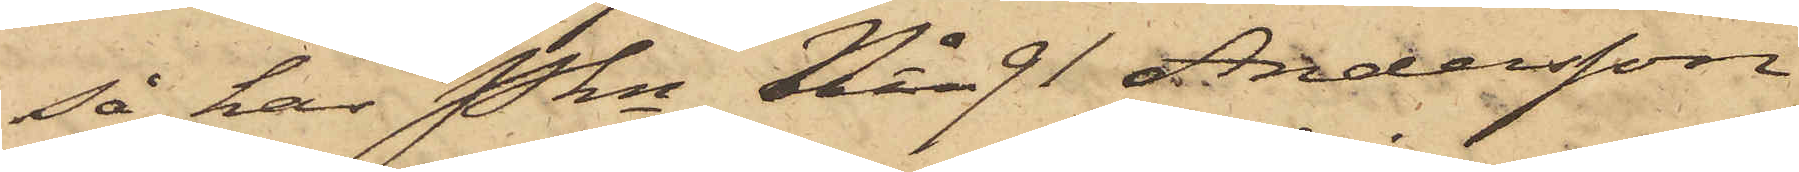så har Pkn No 91 Andersson
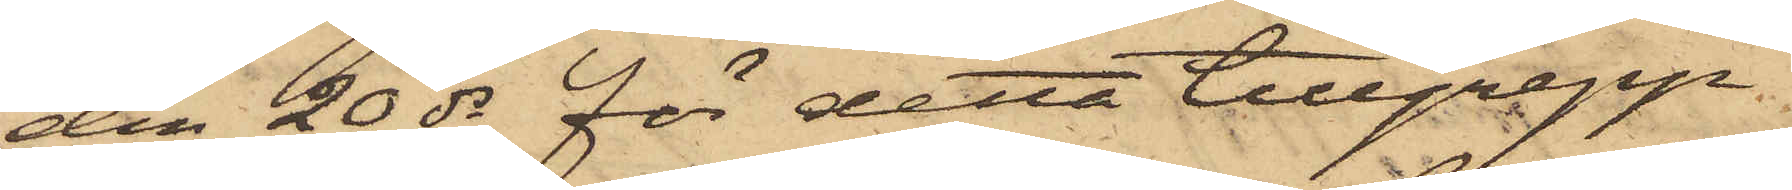den 20 ds för detta tillgrepp.
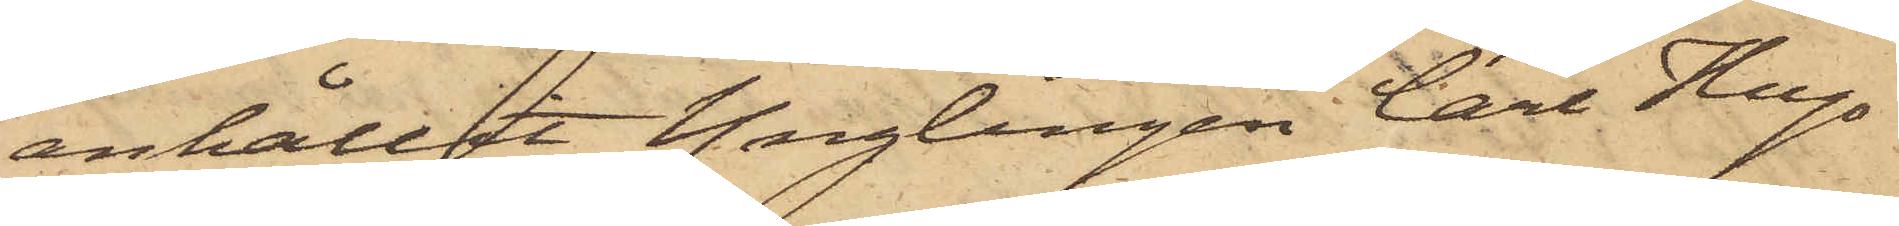anhållit Ynglingen Carl Hugo
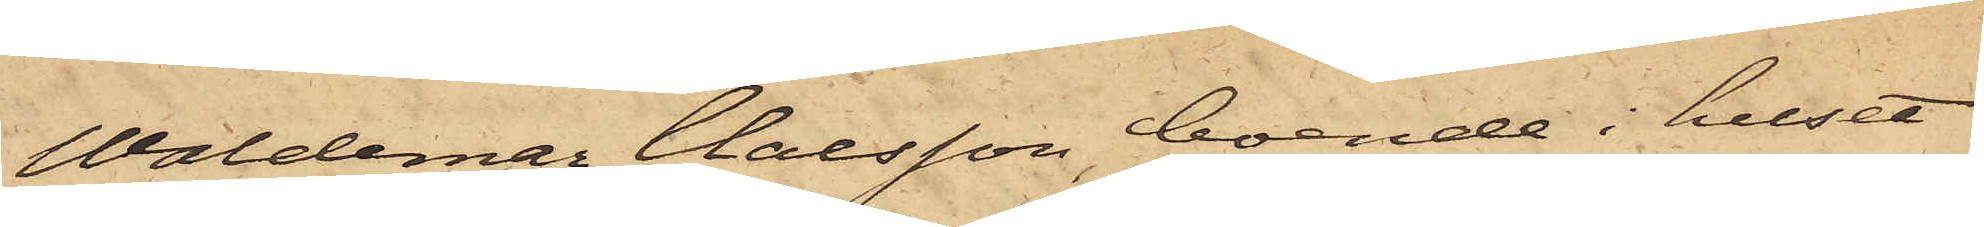Waldemar Claesson, boende i huset
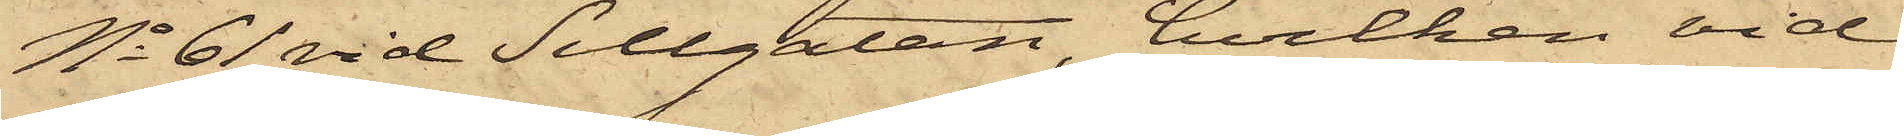No 61 vid Sillgatan, hvilken vid
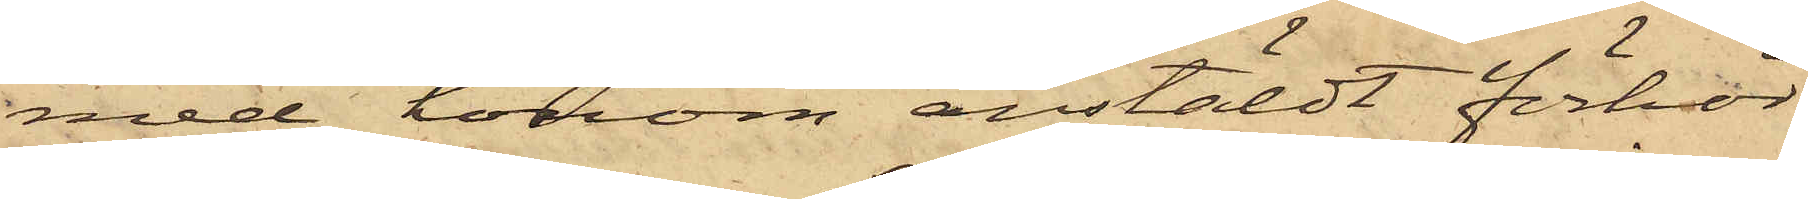med honom anstäldt förhör
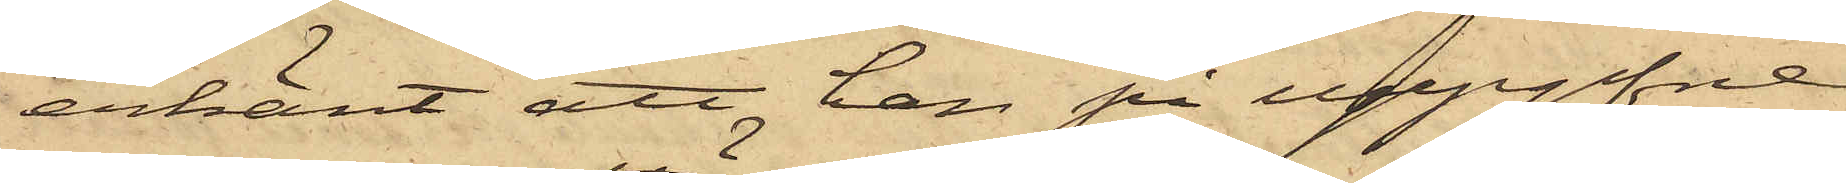erkänt att han på uppgifna
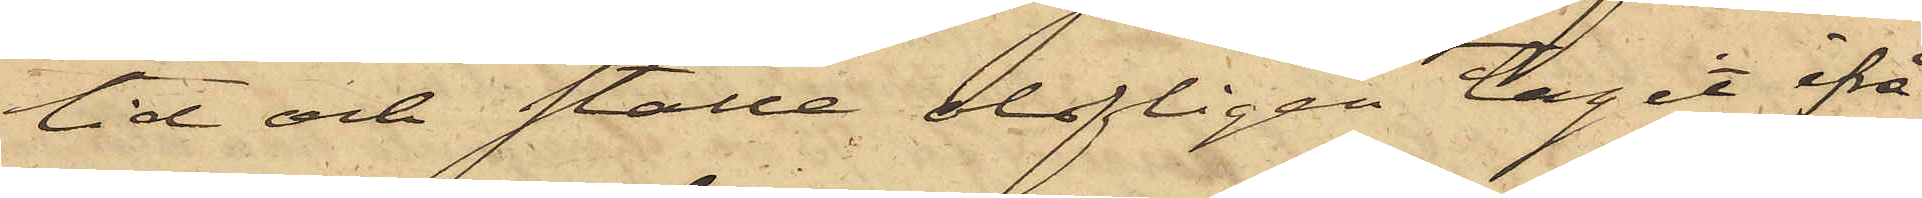tid och ställe olofligen tagit ifrå¬
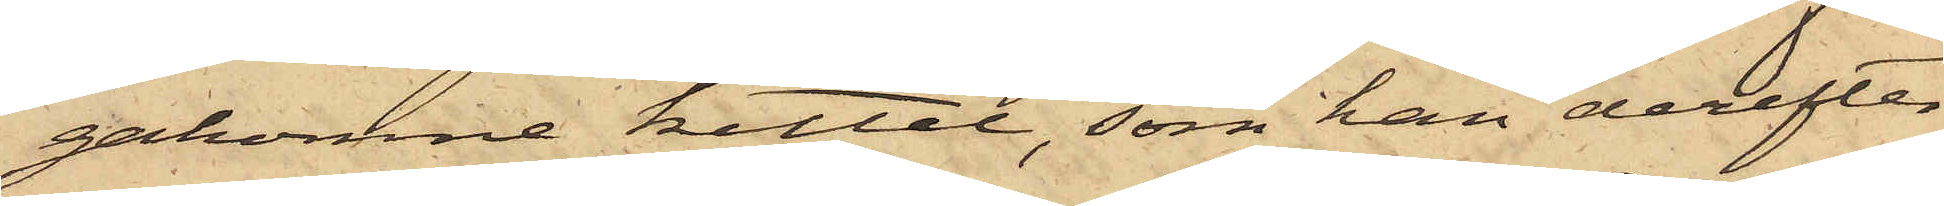gakomne kittel, som han derefter
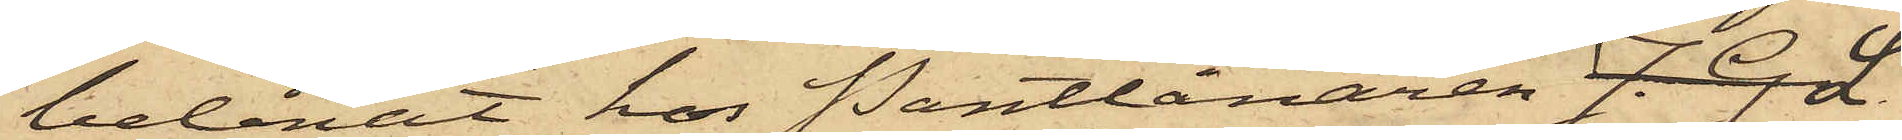belånat hos Pantlånaren J. G L.
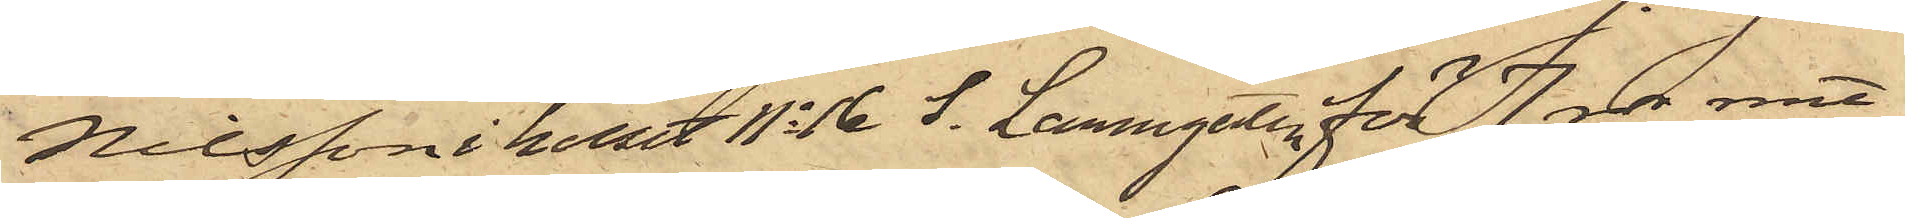Nilsson i huset No 16 S. Larmgatan för 7 rdr rmt,
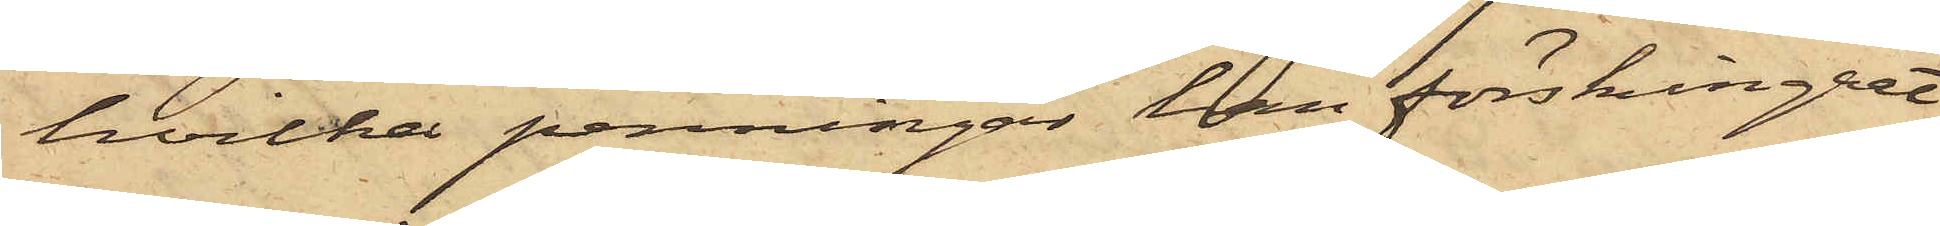hvilka penningar han förskingrat,
